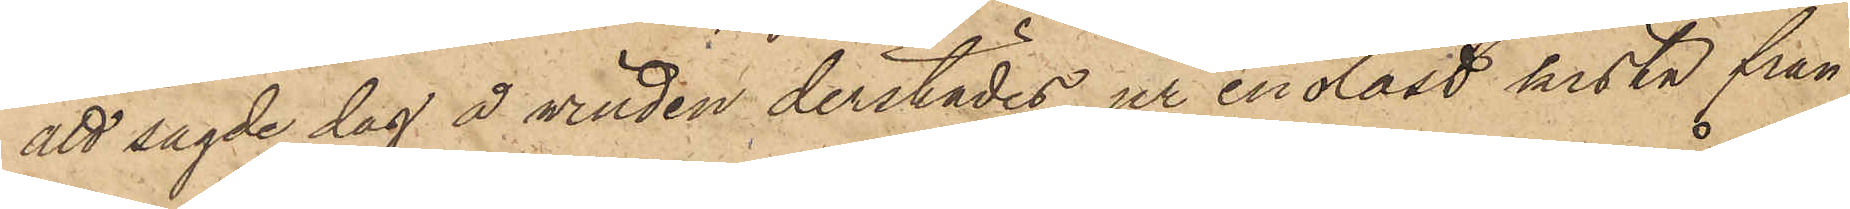att sagde dag å vinden derstädes ur en olåst kista från
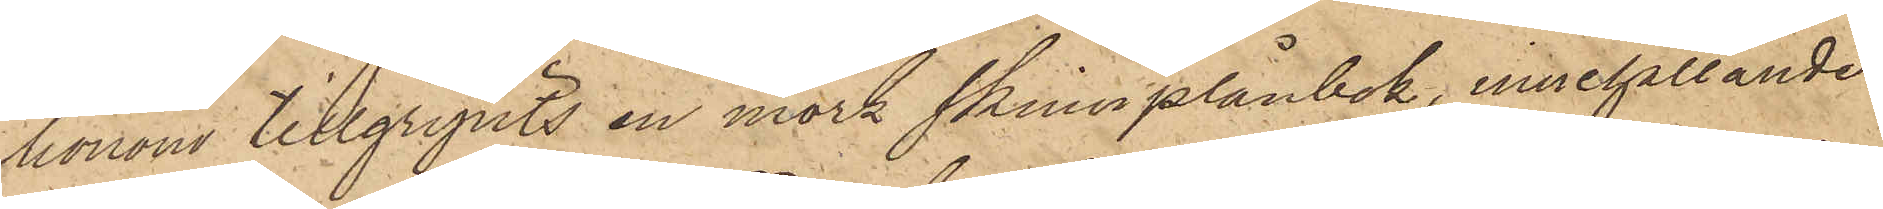honom tillgripits en mörk skinnplånbok, innehållande
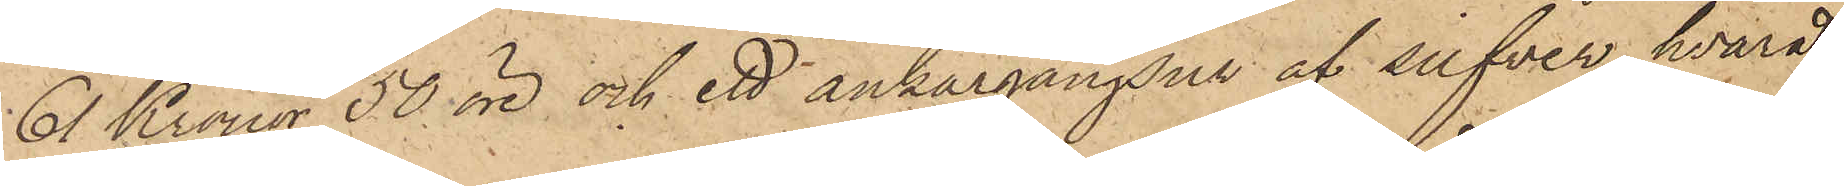61 Kronor 50 öre och ett ankargångsur af silfver, hvarå
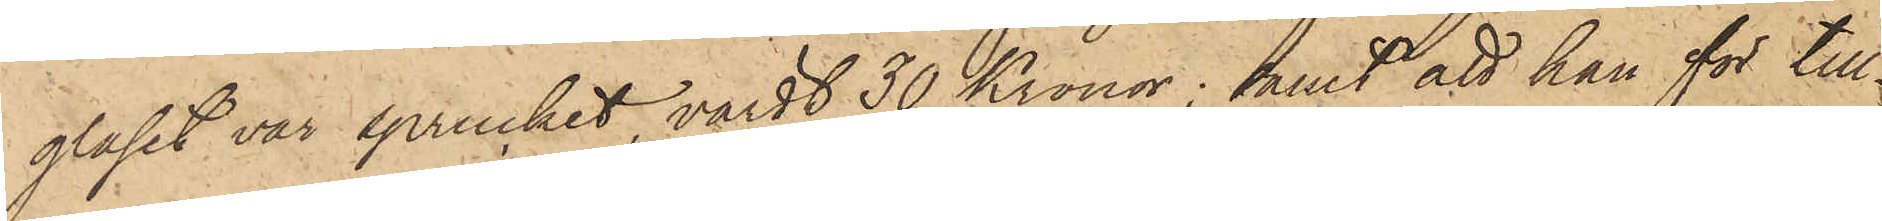glaset var sprucket, värdt 30 Kronor; samt att han för till¬
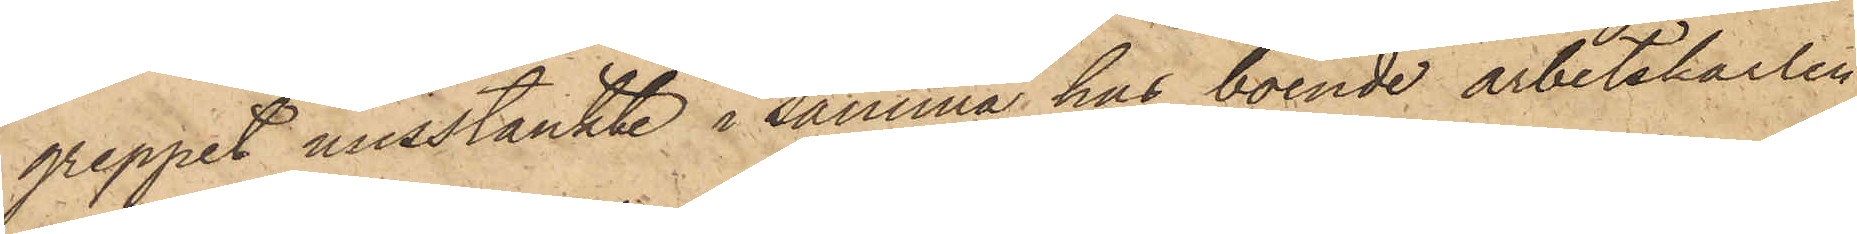greppet misstänkte i samma hus boende arbetskarlen
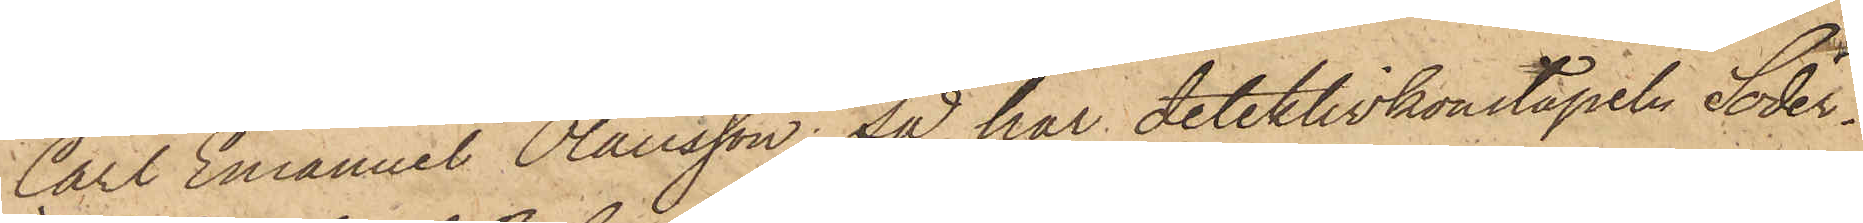Carl Emanuel Olausson, så har detektivkonstapeln Söder¬
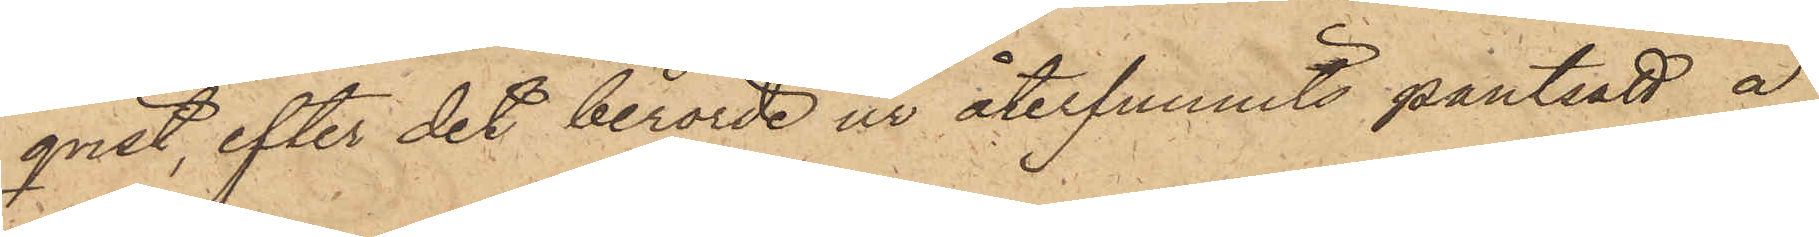qvist, efter det berörde ur återfunnits pantsatt å
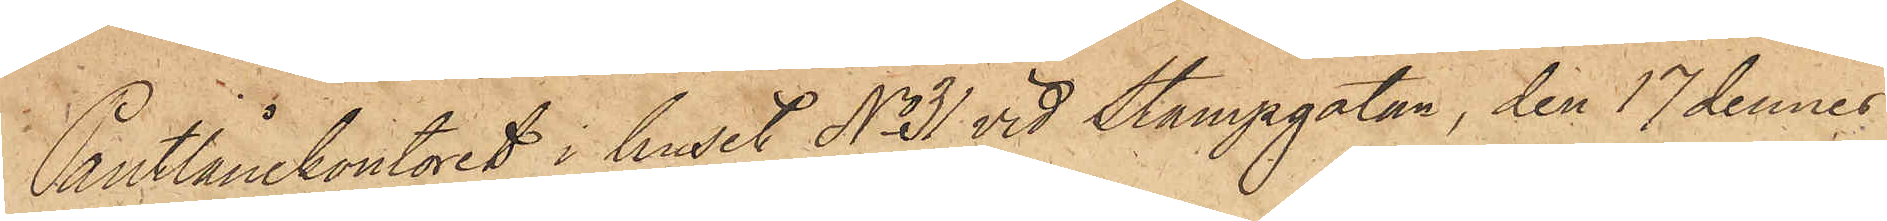Pantlånekontoret i huset No 31 vid Stampgatan, den 17 dennes
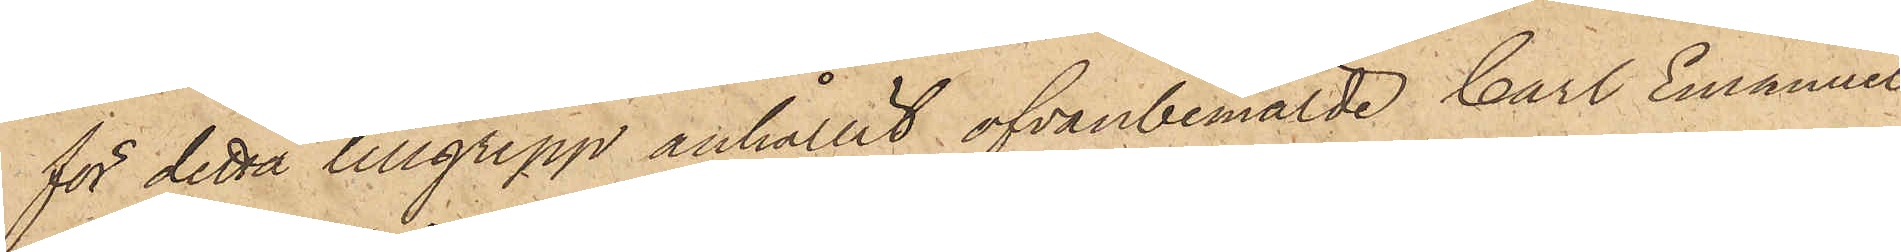för detta tillgrepp anhållit ofvanbemälde Carl Emanuel
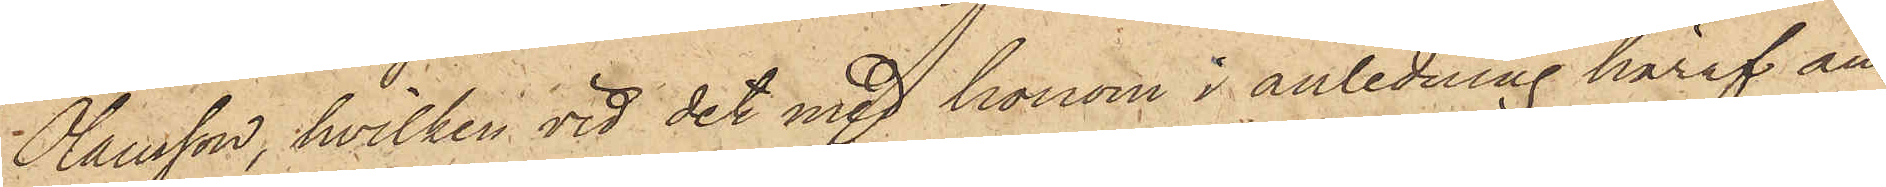Olausson, hvilken vid det med honom i anledning häraf an¬
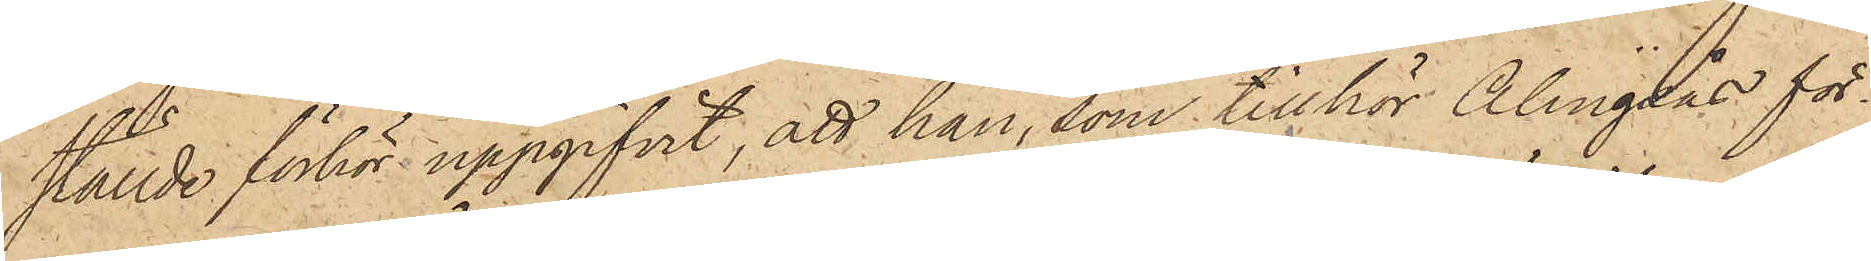ställde förhör uppgifvit, att han, som tillhör Alingsås för¬
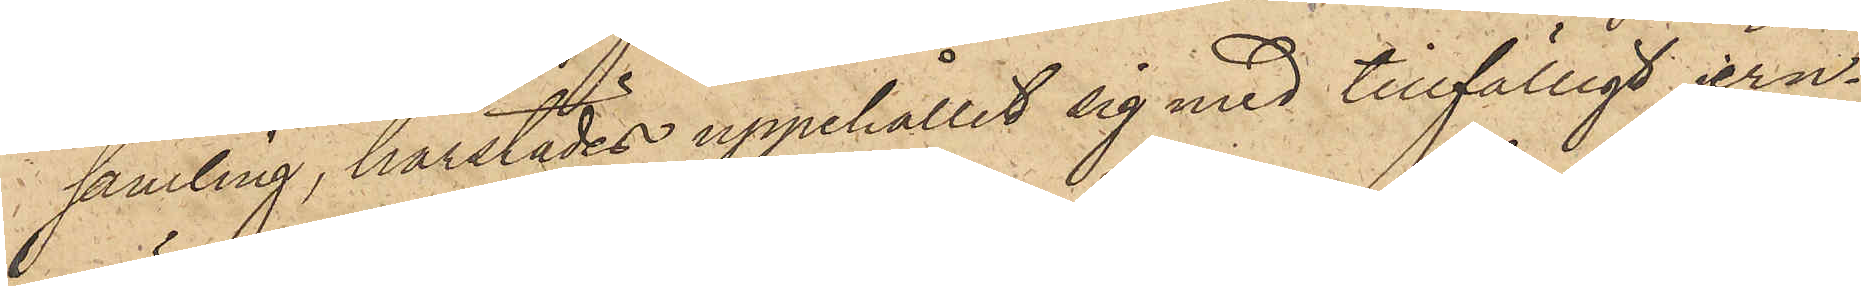samling, härstädes uppehållit sig med tillfälligt jern¬
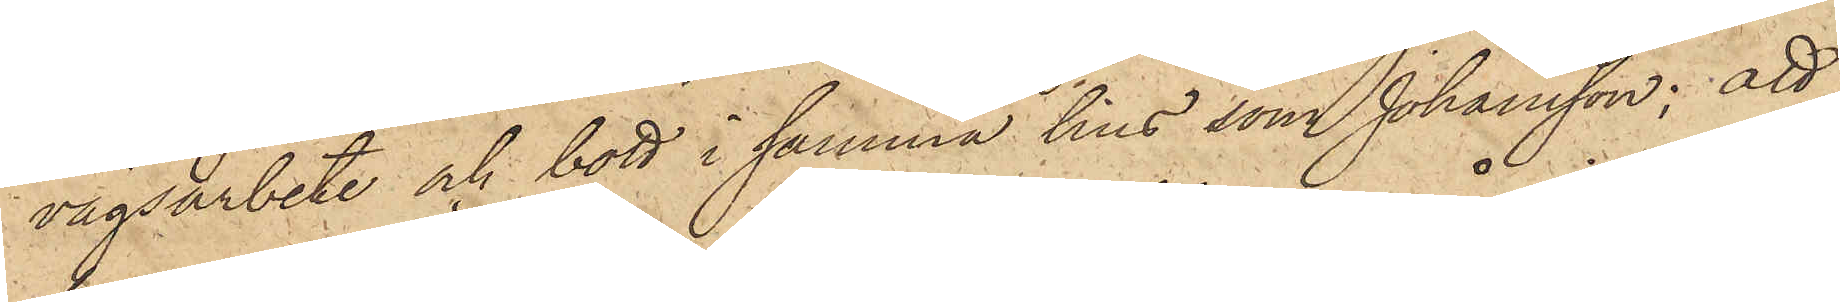vägsarbete och bott i samma hus som Johansson; att
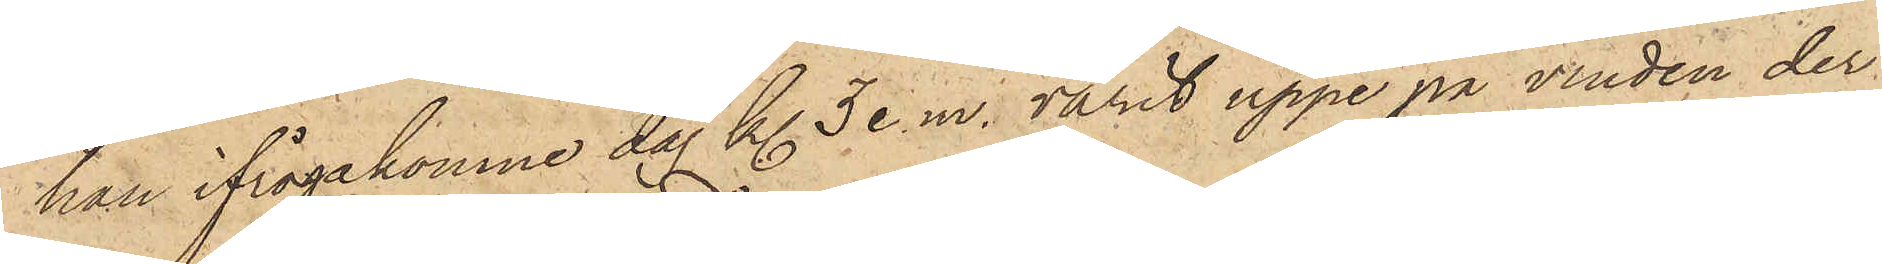han ifrågakomne dag kl 3 e.m. varit uppe på vinden der
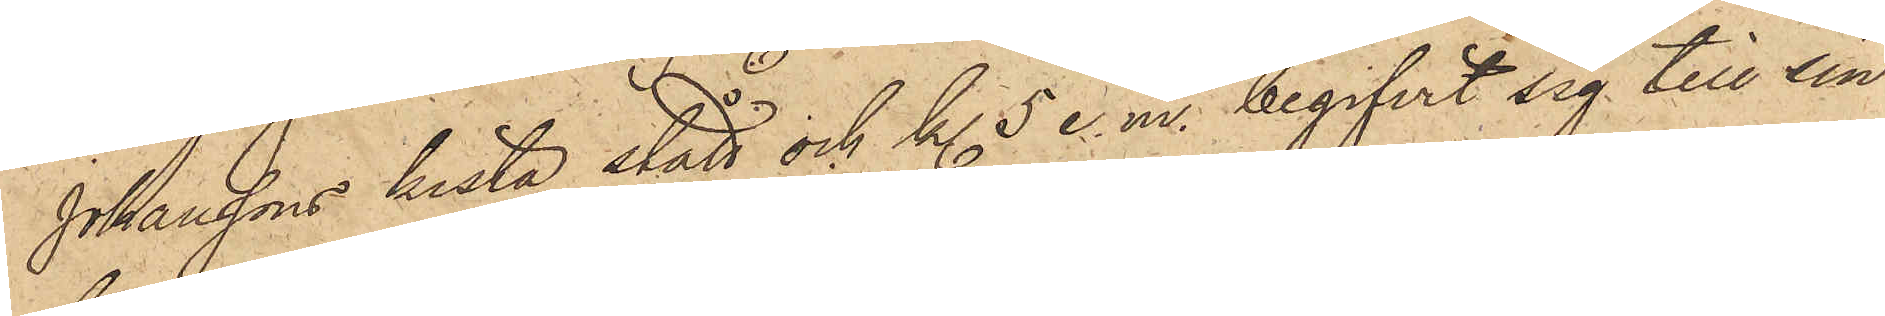Johanssons kista stått och kl 5 e. m. begifvit sig till sin
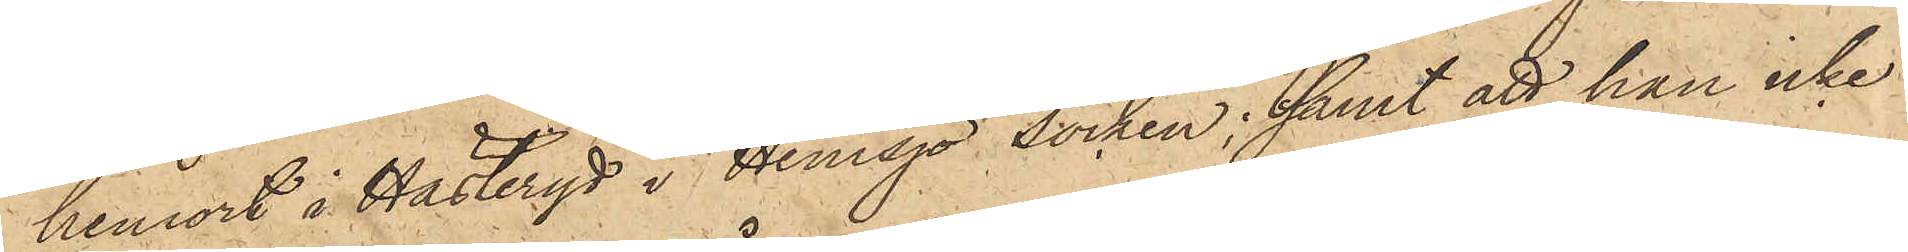hemort i Hästeryd i Hemsjö socken; samt att han icke
